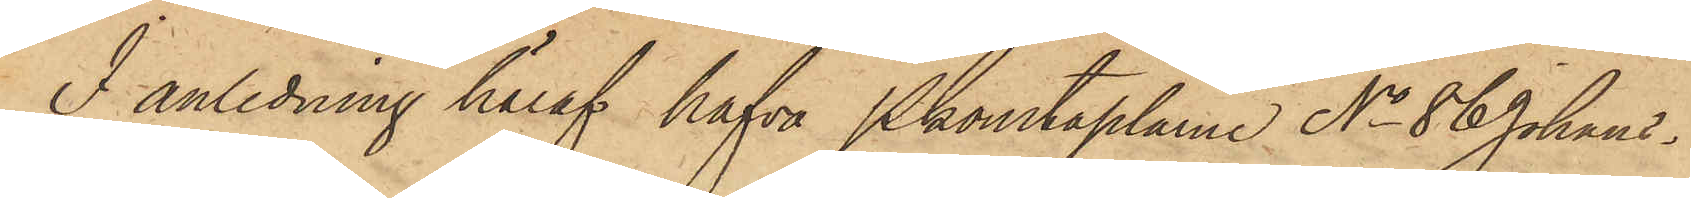I anledning häraf hafva Pkonstaplarne No 86 Johans¬
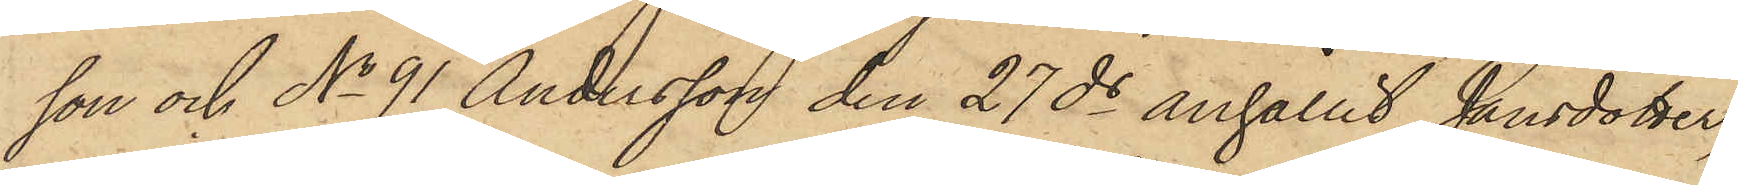son och No 91 Andersson den 27 ds anhållit Jansdotter,
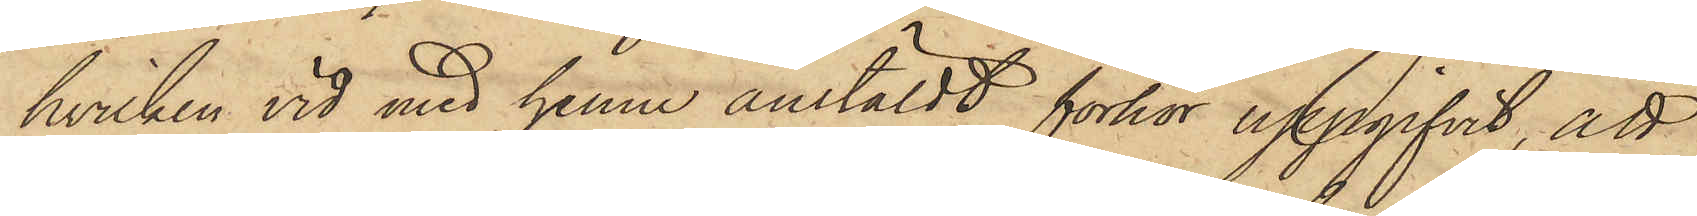hvilken vid med henne anstäldt förhör uppgifvit, att
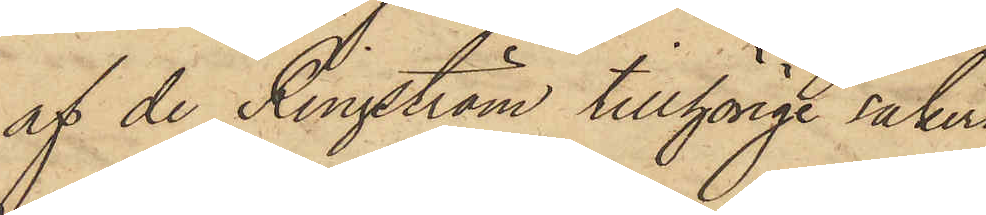af de Ringström tillhörige saker,
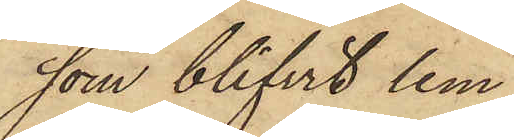som blifvit lem¬
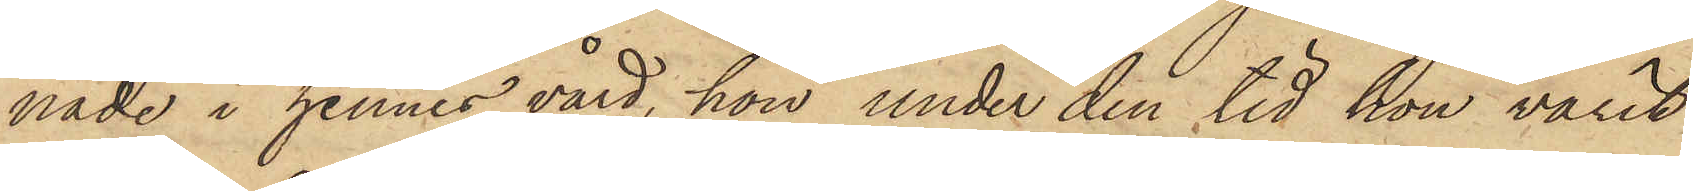nade i hennes vård, hon under den tid hon varit
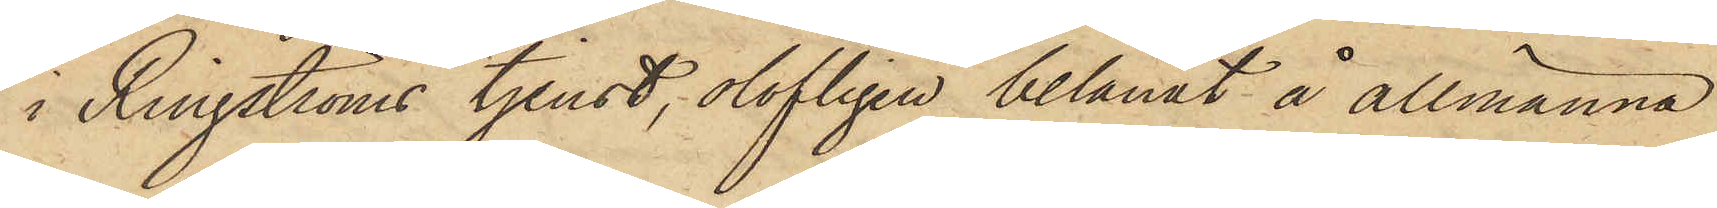i Ringströms tjenst, olofligen belånat å allmänna
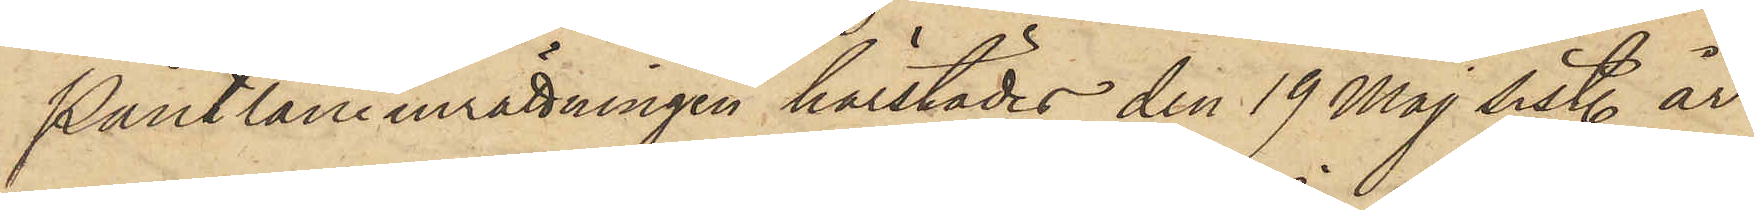Pantlåneinrättningen härstädes den 19 Maj sist. år
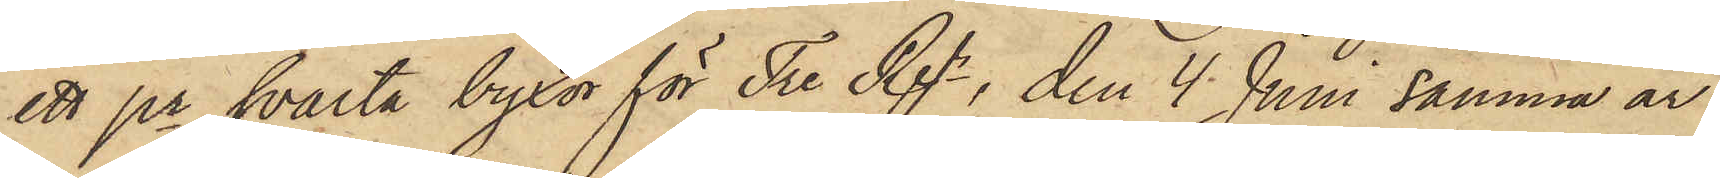ett pr svarta byxor för Tre Rgr, den 4 Juni samma år
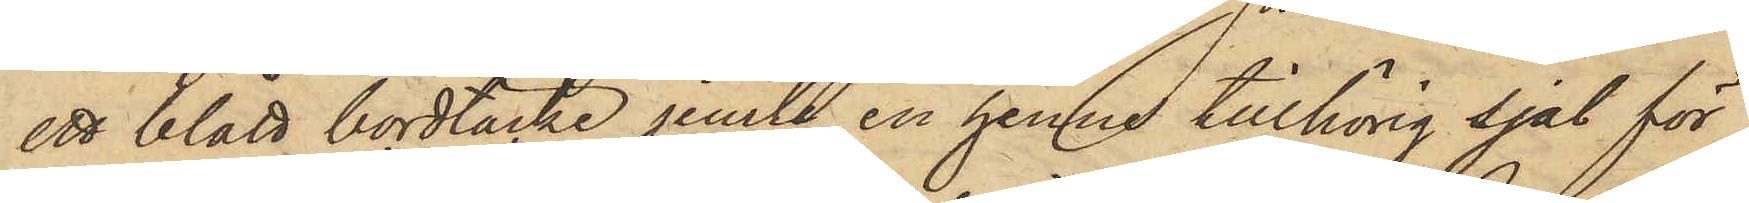ett blått bordtäcke jemte en henne tillhörig sjal för
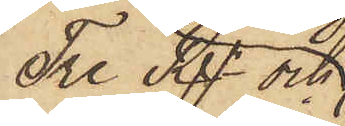Tre Rgr och
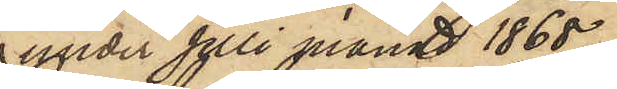under Juli månad 1868
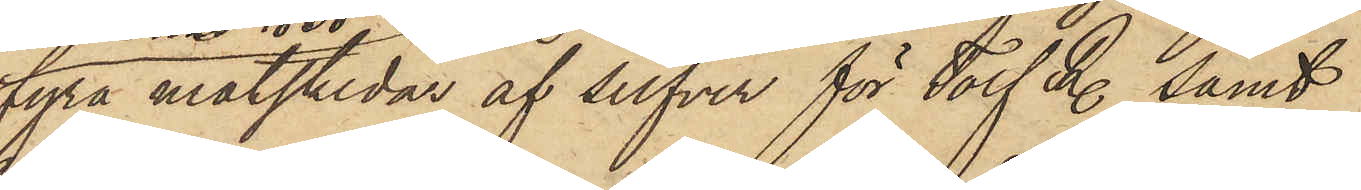fyra matskedar af silfver för Tolf R. samt
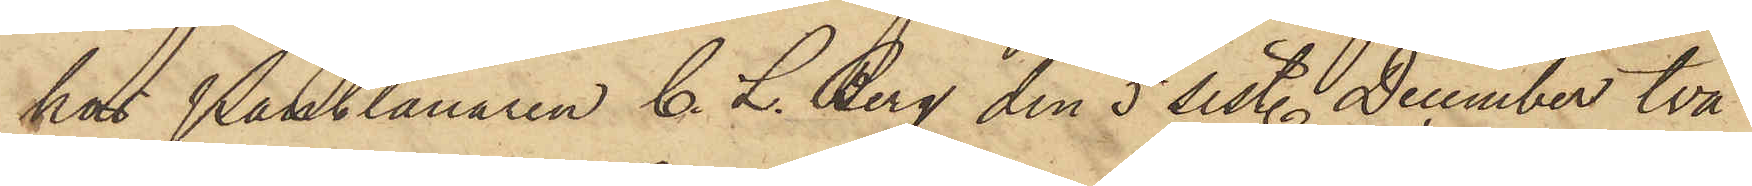hos Pantlånaren C. L. Berg den 5 sist. December två
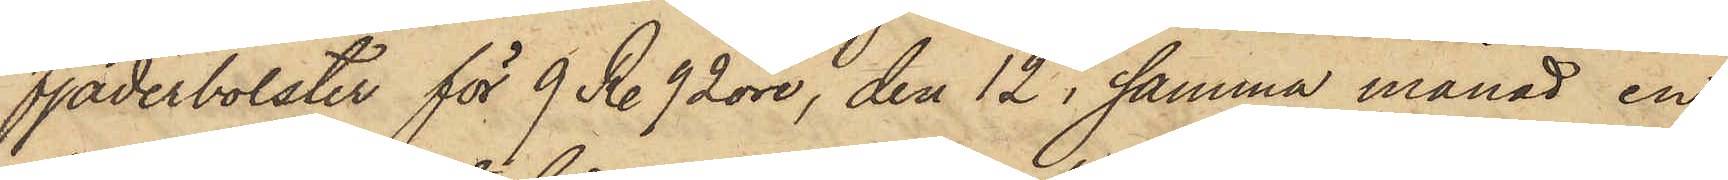fjäderbolster för 9 R. 92 öre, den 12 i samma månad en
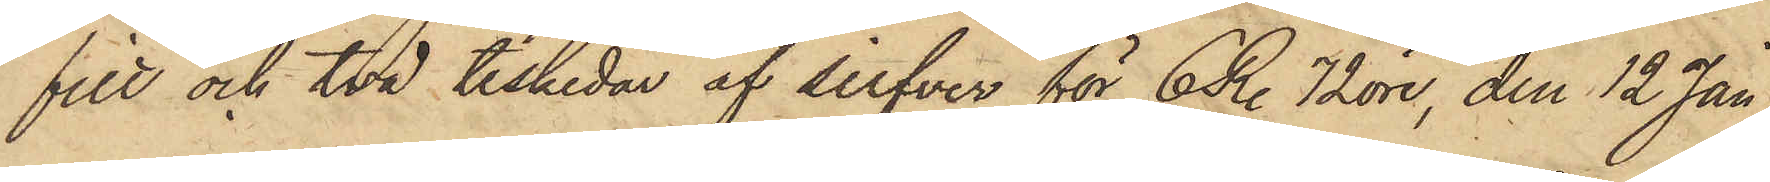filt och två teskedar af silfver för 6 R. 72 öre, den 12 Jan
